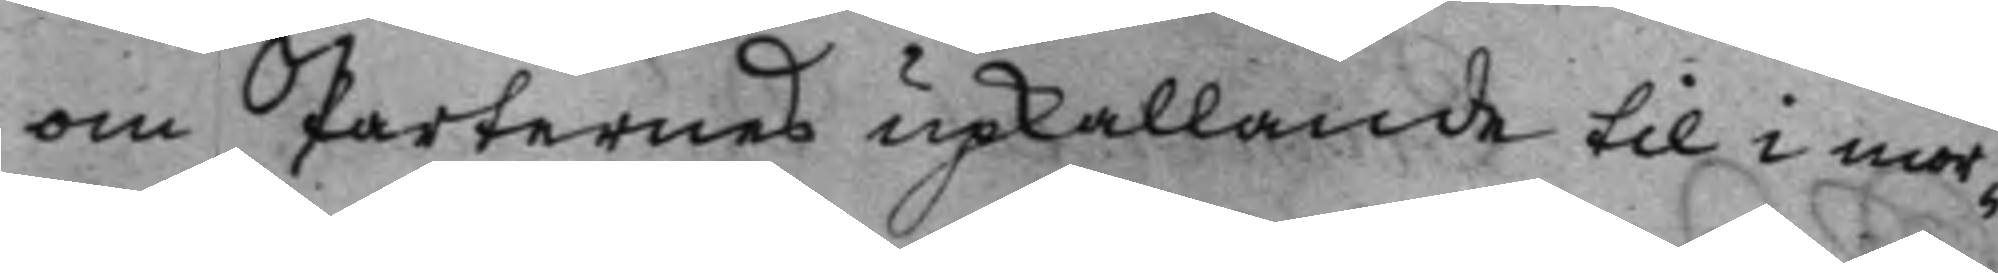om Parternes upkallande til i mor¬
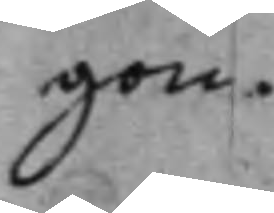gon.
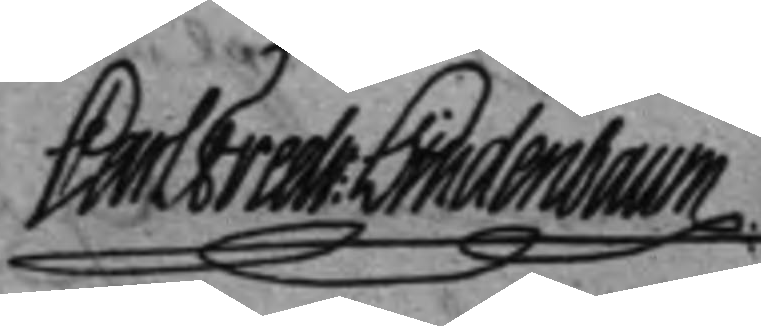Carl Fredr: Lindenbaum
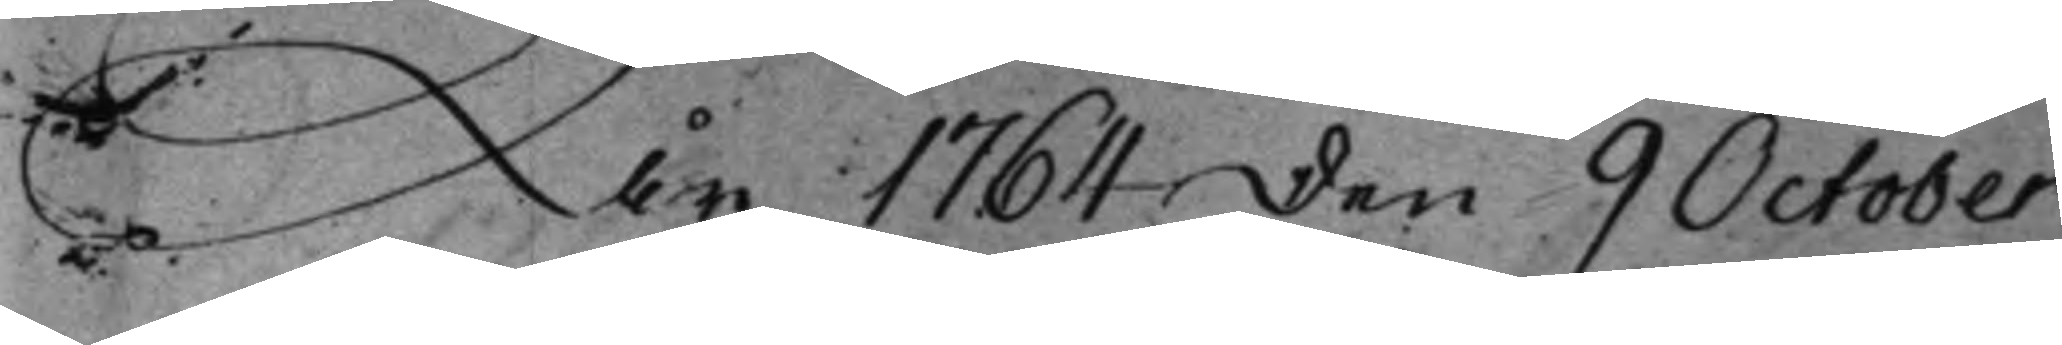År 1764 den 9 October
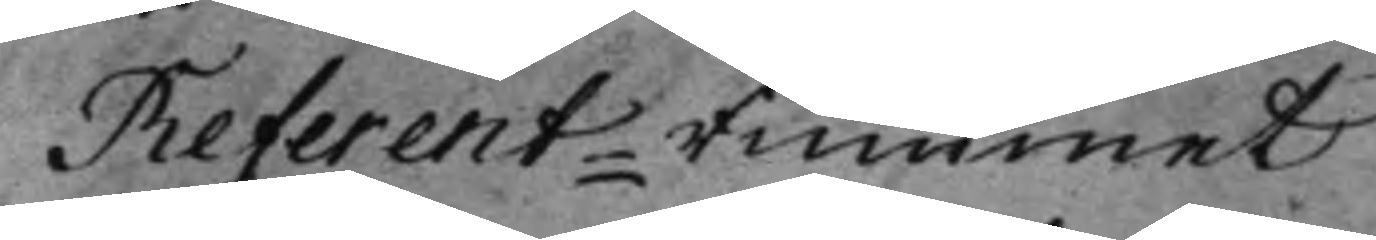Referent-Rummet
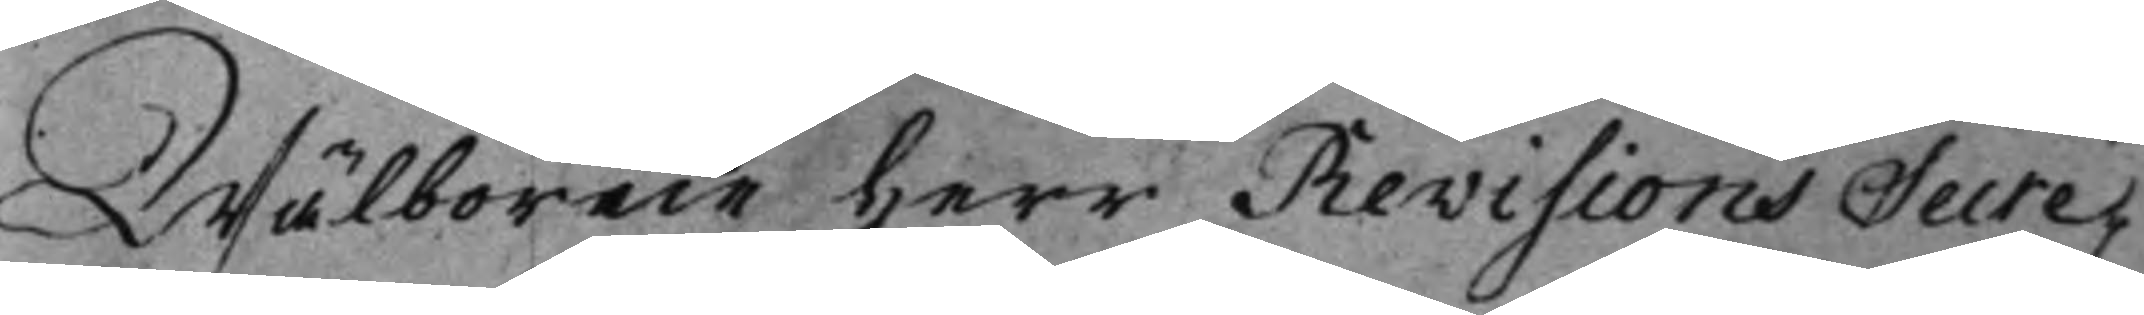Wälborne Herr Revisions Secre¬
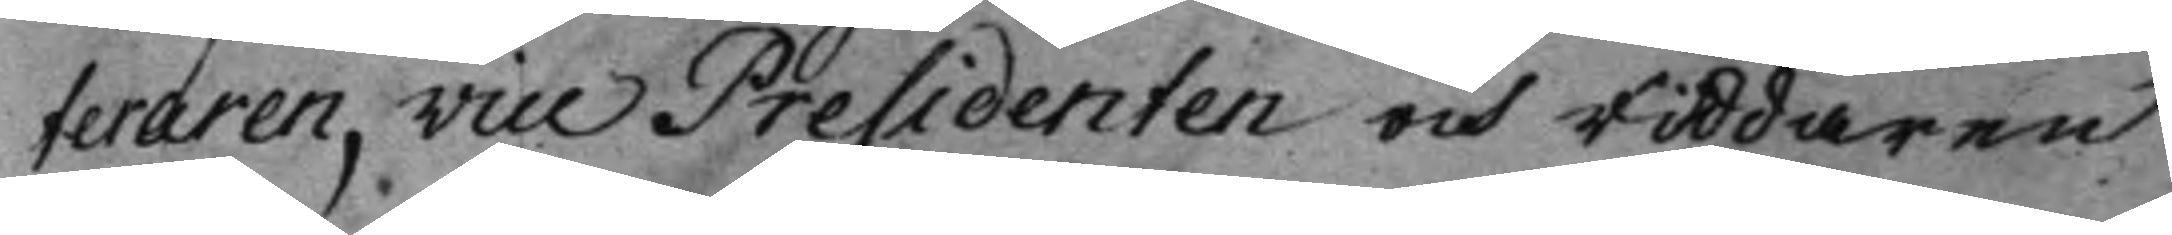teraren, Vice Presidenten och Riddaren
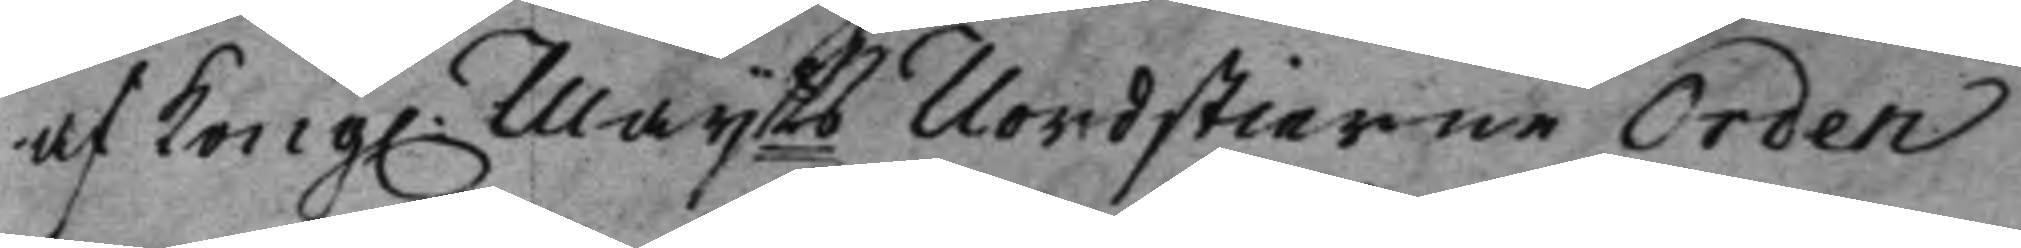af Kong. Maijts Nordstierne Orden
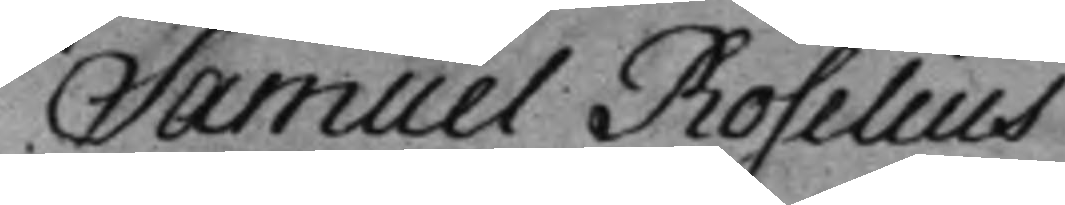Samuel Roselius
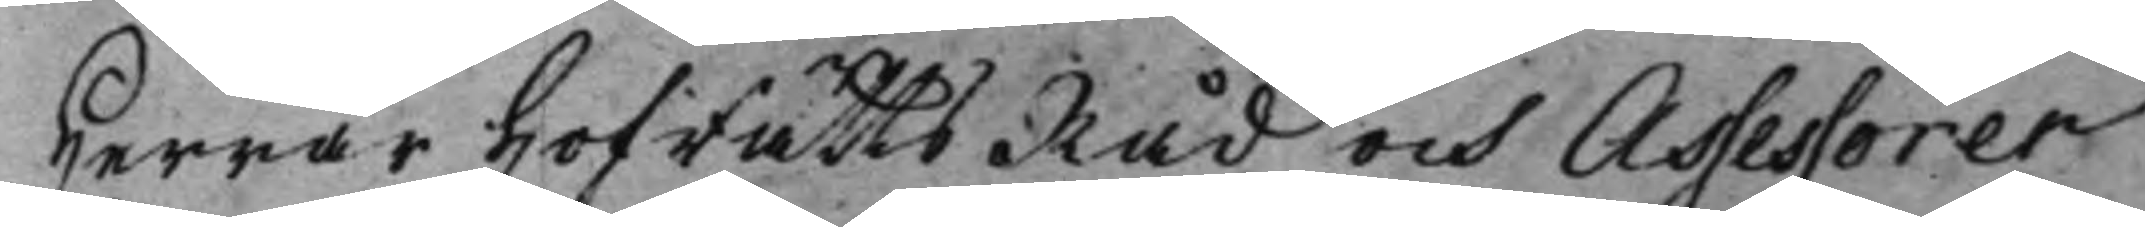Herrar HofrättsRåd och Assessorer
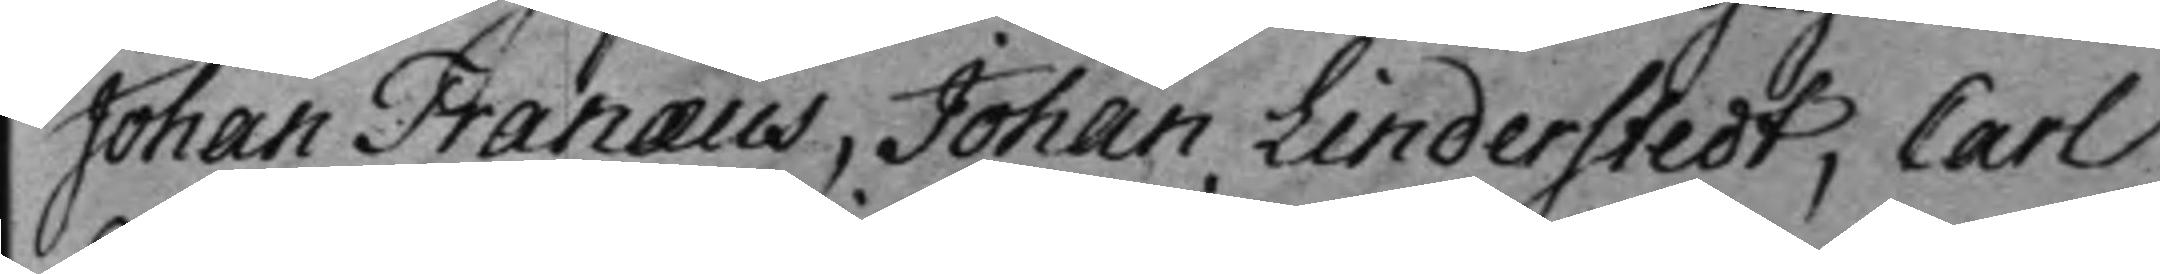Johan Tranæus, Johan Linderstedt, Carl
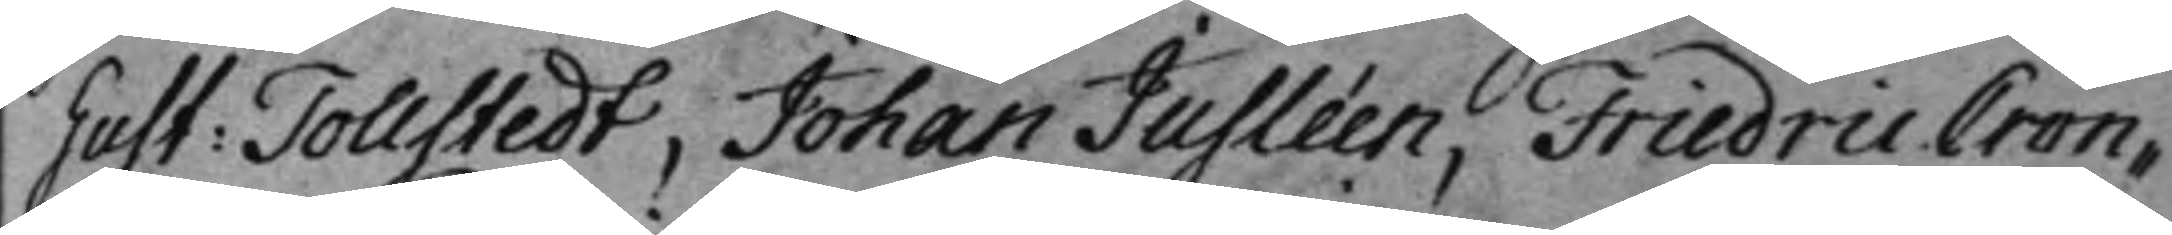Gust: Tollstedt, Johan Jusléen, Friedric Cron¬
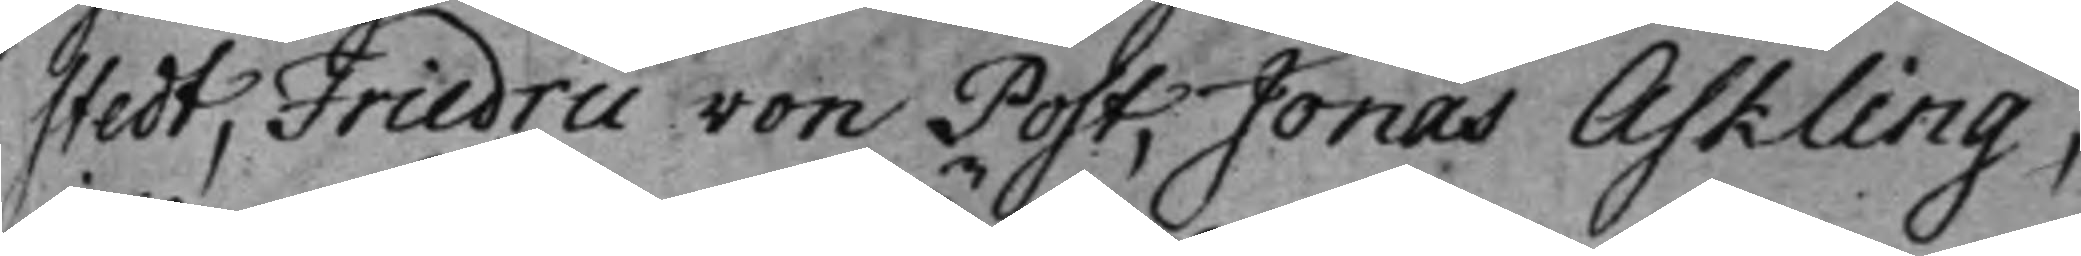stedt, Friedric von Post, Jonas Askling,
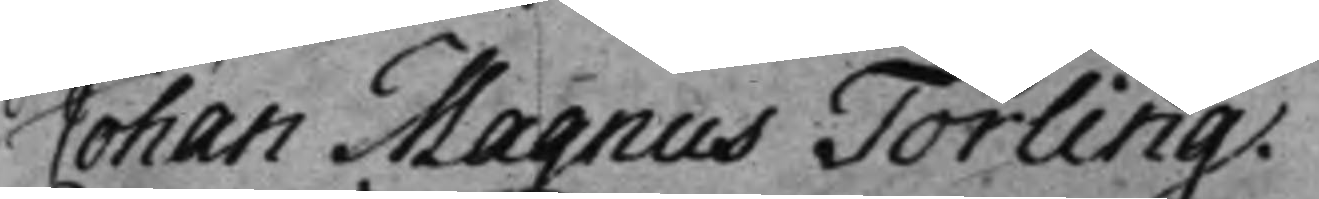Johan Magnus Törling.
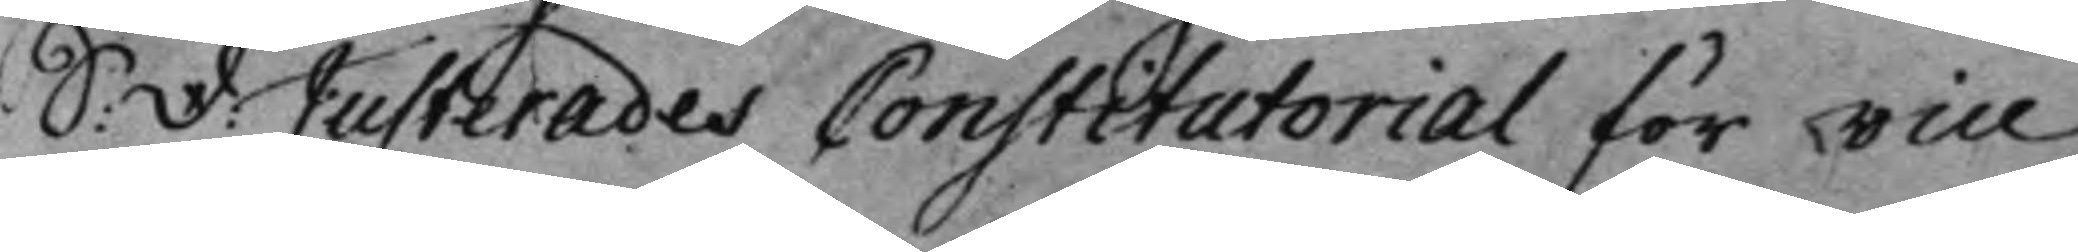S: D: Justerades Constitutorial för vice
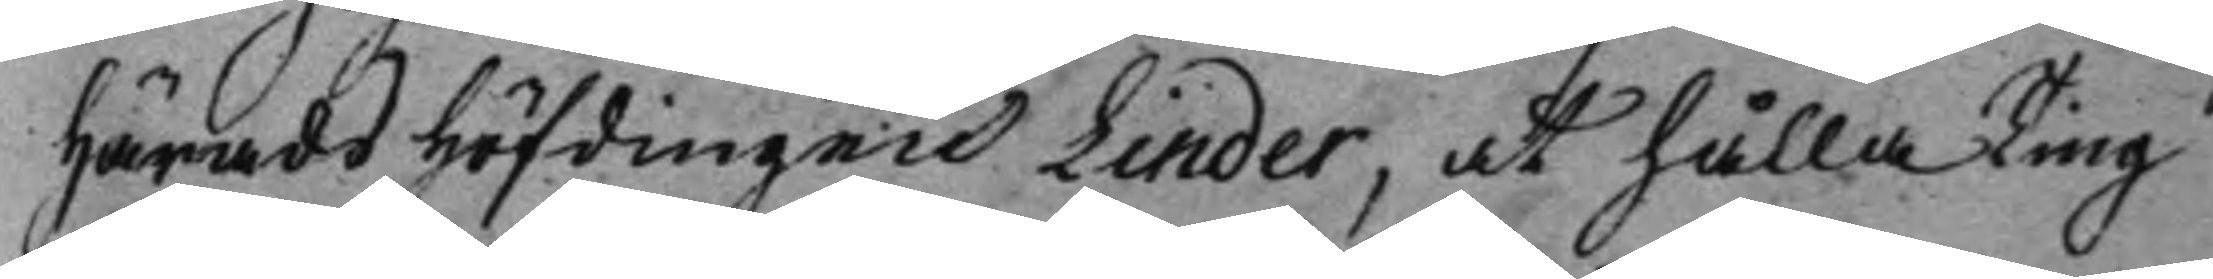HäradsHöfdingen Linder, at hålla Ting
